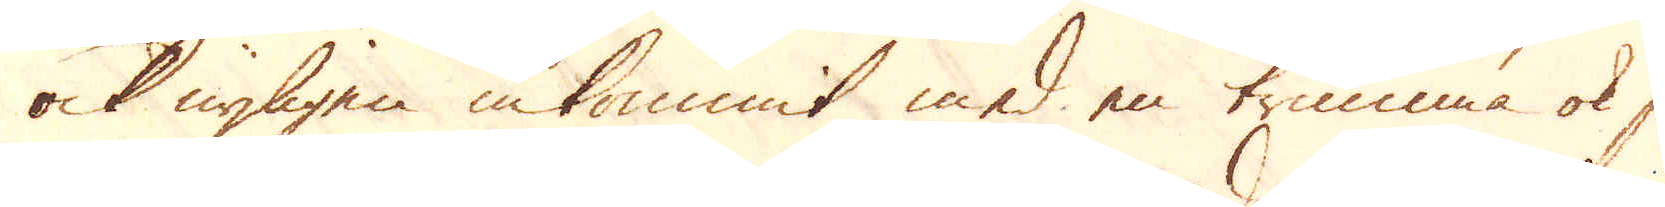ock nyligen inkommit med en trumma ok så
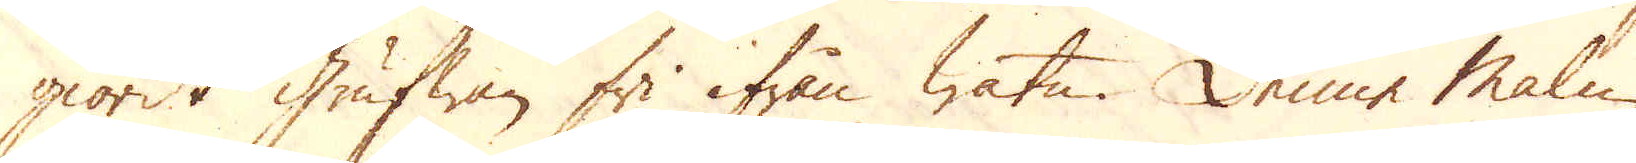giordt Grufwan fri ifrån watn. Denne Malm
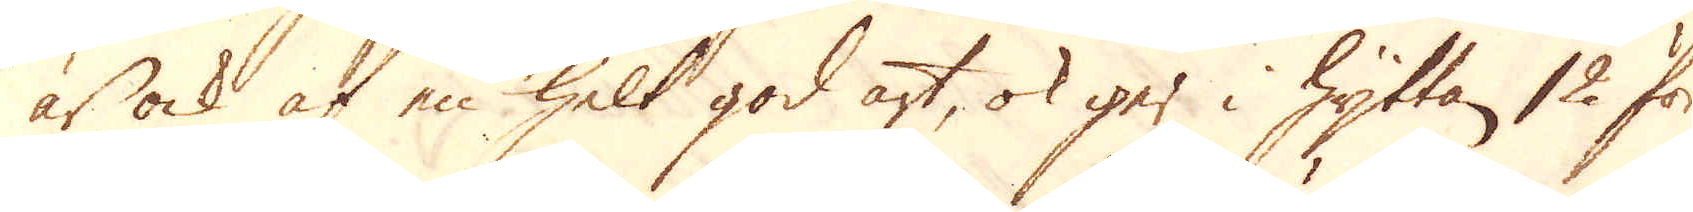är ock af en helt god art, ok ger i Hyttan 12 för
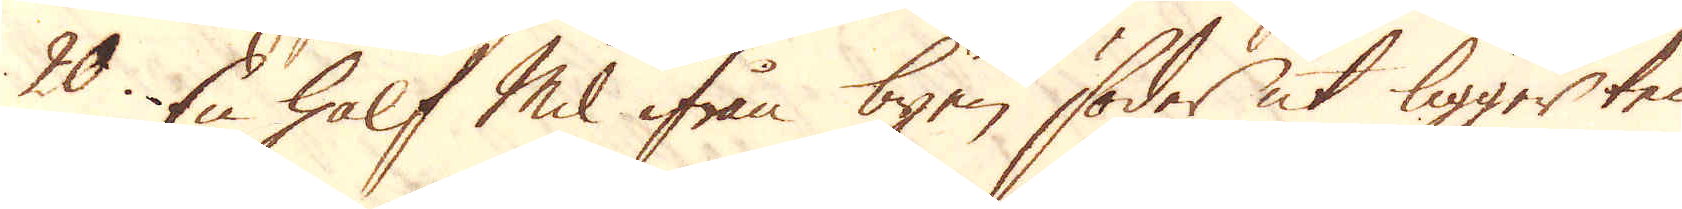20. En half Mil ifrån byen söder ut ligger ten-
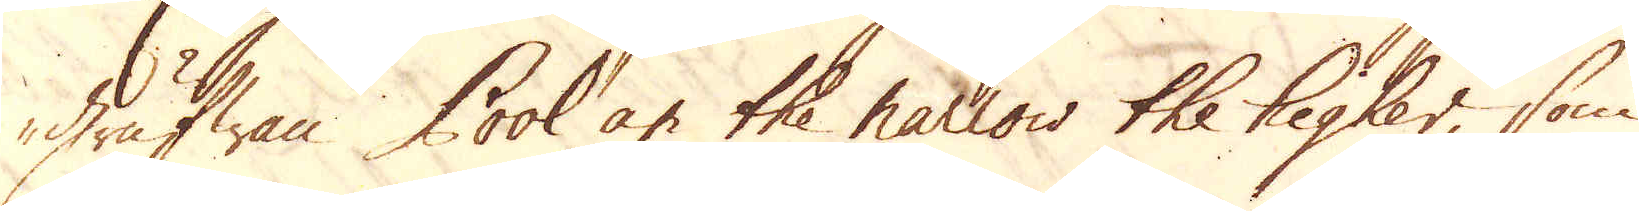grufwan Pool an the narrow the higher, som
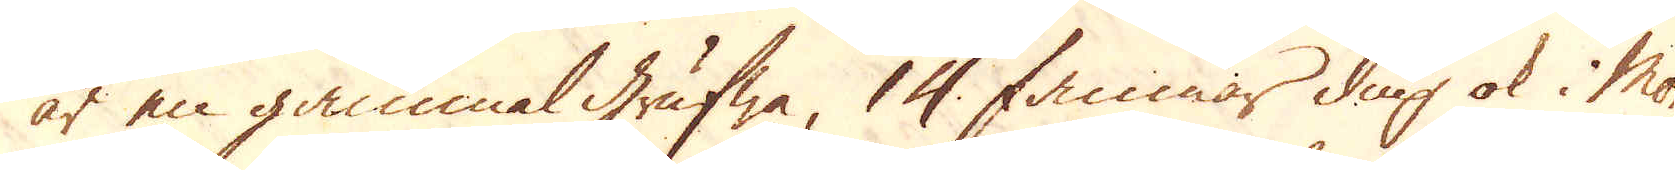är en gammal grufwa, 14 famnar diup ok i More-
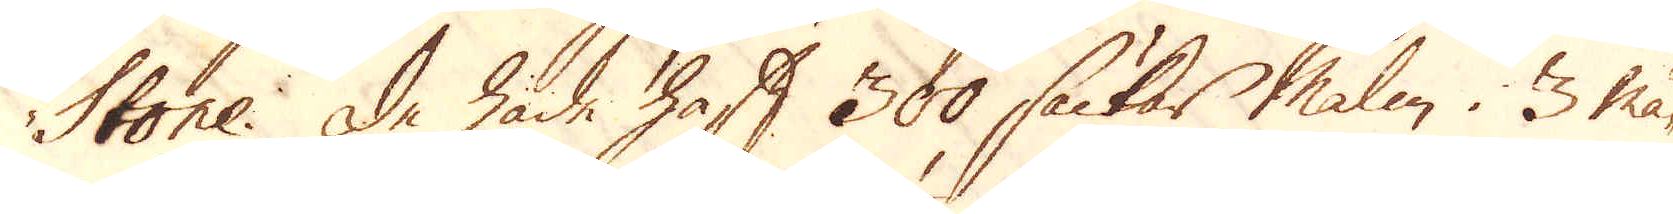Stone. De hade haft 300 säckar Malm i 3 må-
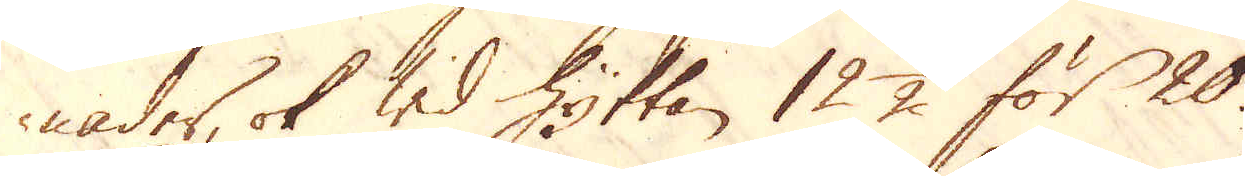nader, ok wid Hyttan 12 1/2 för 20.
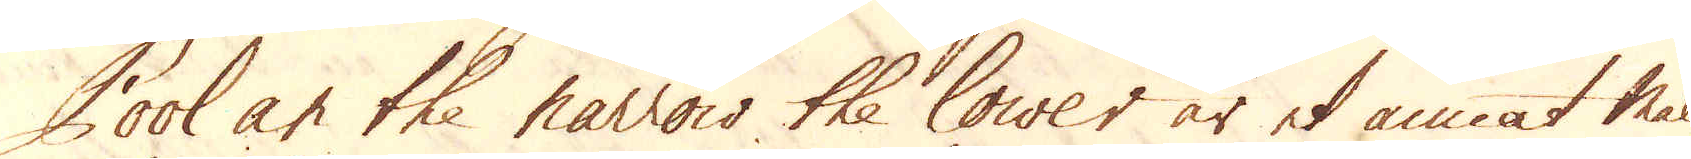Pool an the narrow the lower är et annat malm-
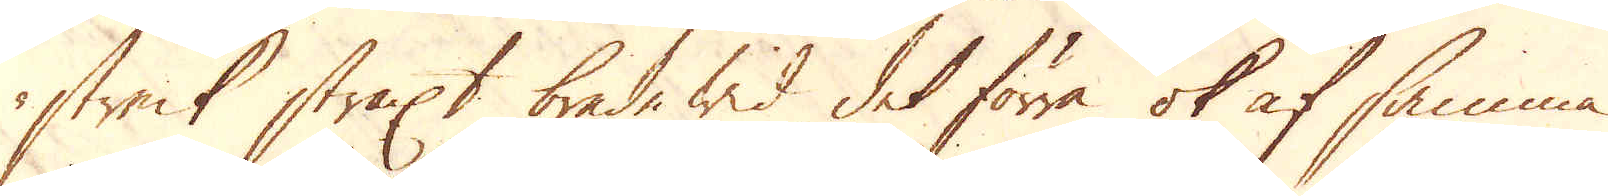streck straxt bredewid det förra ok af samma
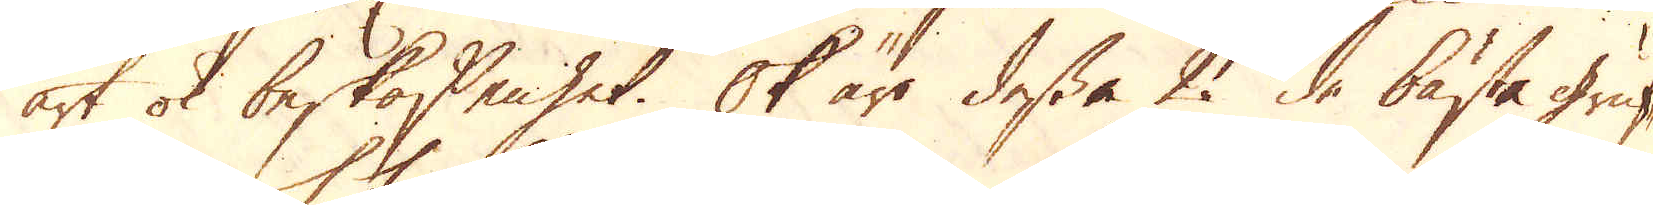art ok beskaffenhet. Ok äro dessa 2 de bästa gruf-
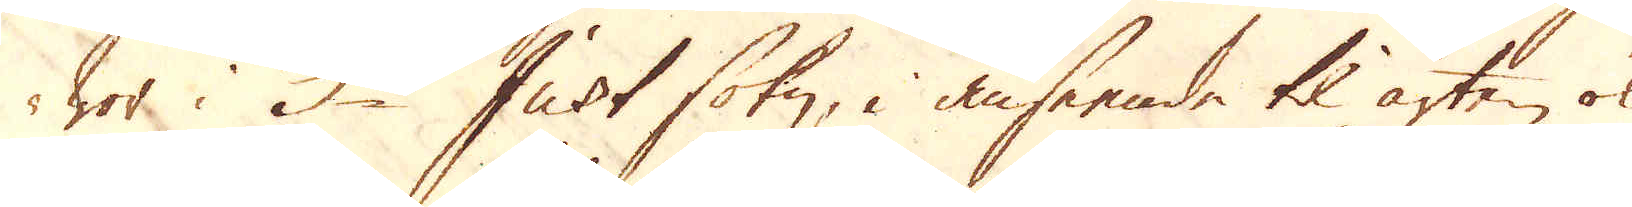wor i S:t Just sokn, i anseende til arten ok
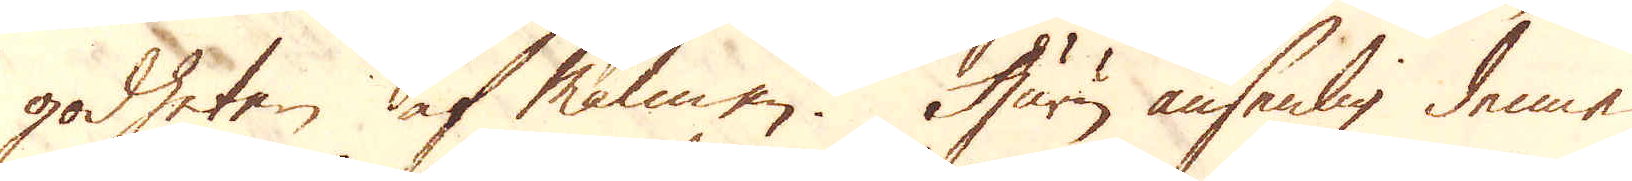godheten af Malmen. Huru ansenlig denne
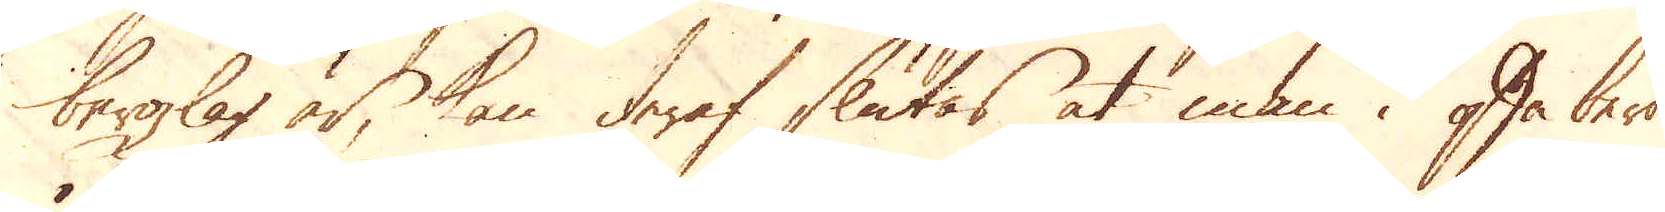bergzlag är, kan deraf slutas at man i ofta berör-
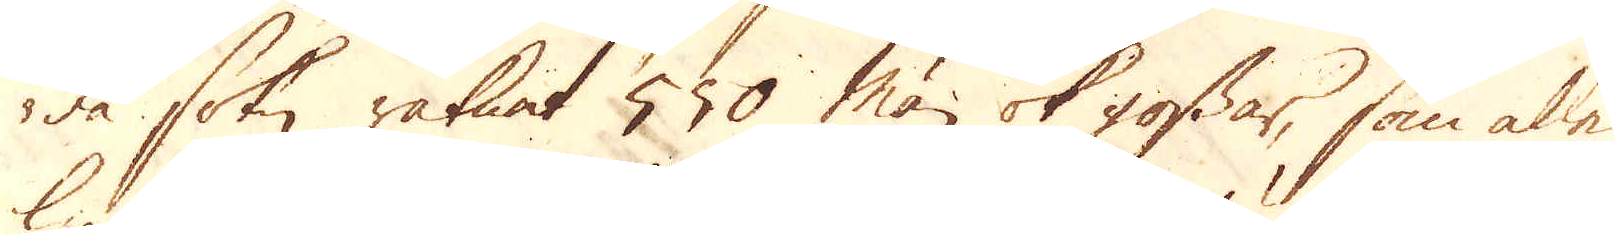da sokn räknat 550 män ok gossar, som alle
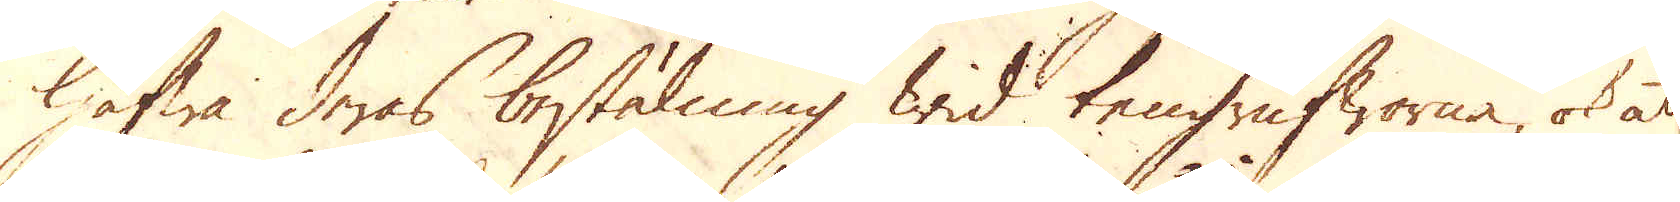hafwa deras bestälning wid tengrufworna, ok at
